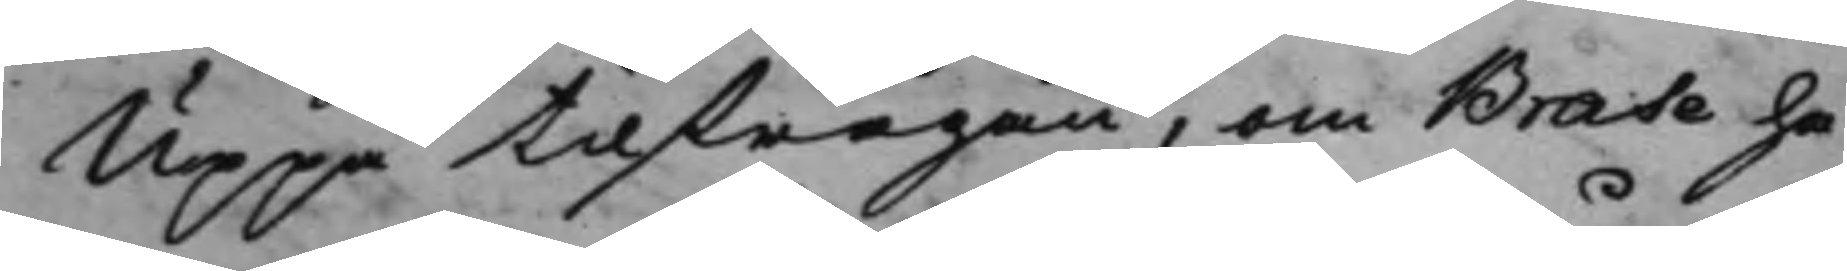Uppå tilfrågan, om Brase ha¬
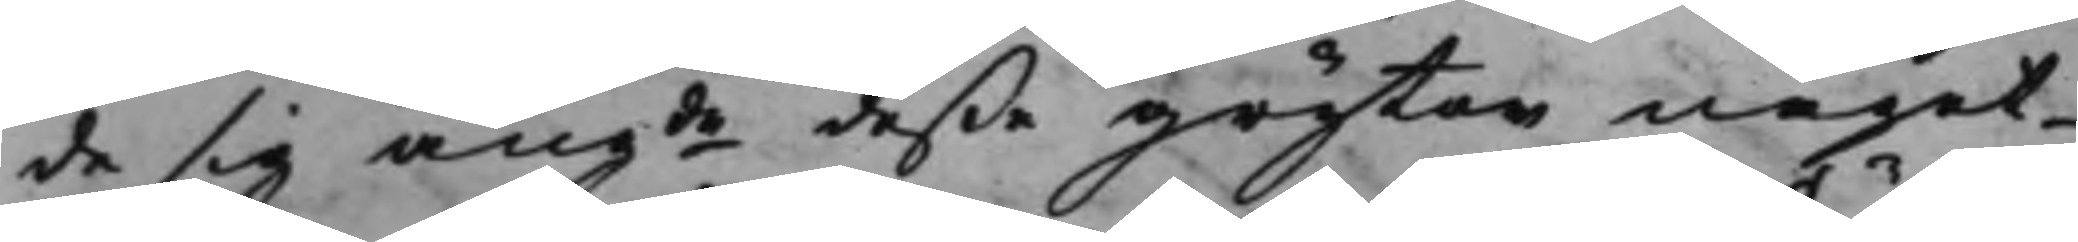de sig angde deße Grytor något
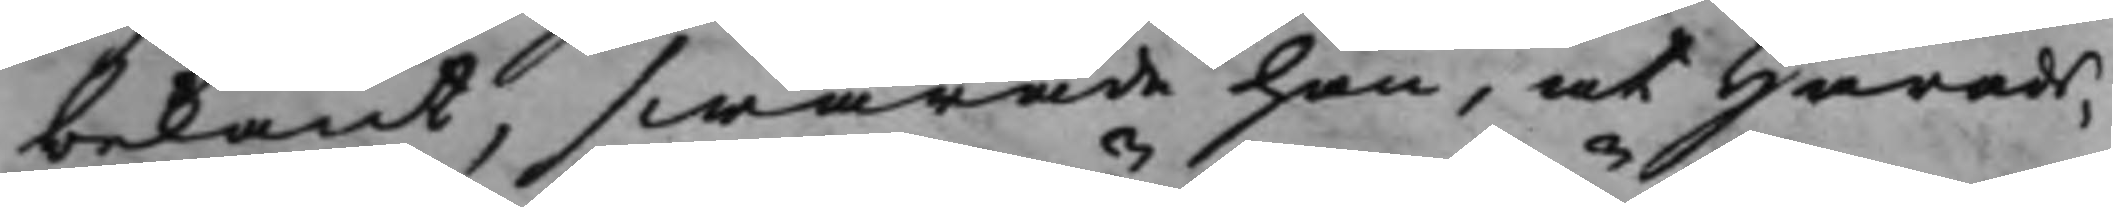bekant, swarade han, at Härads¬
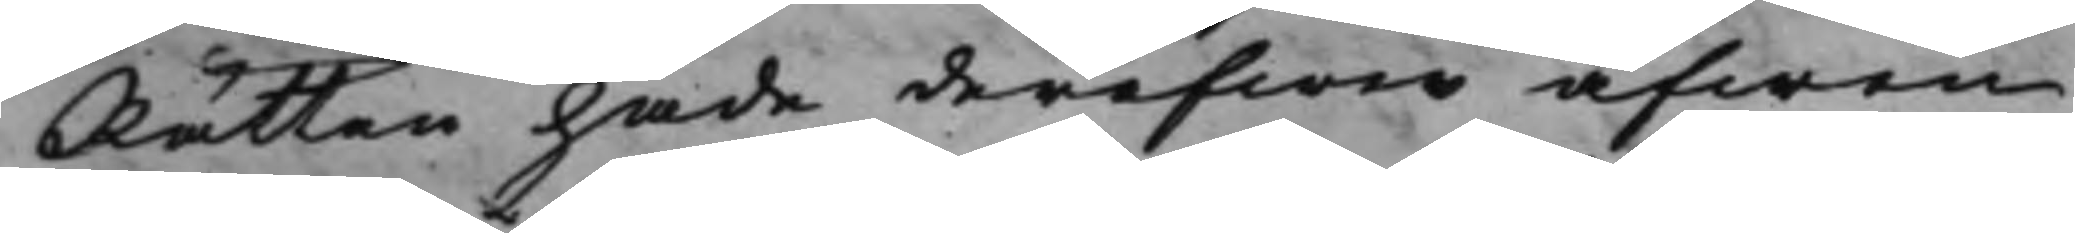Rätten hade deröfwer äfwen
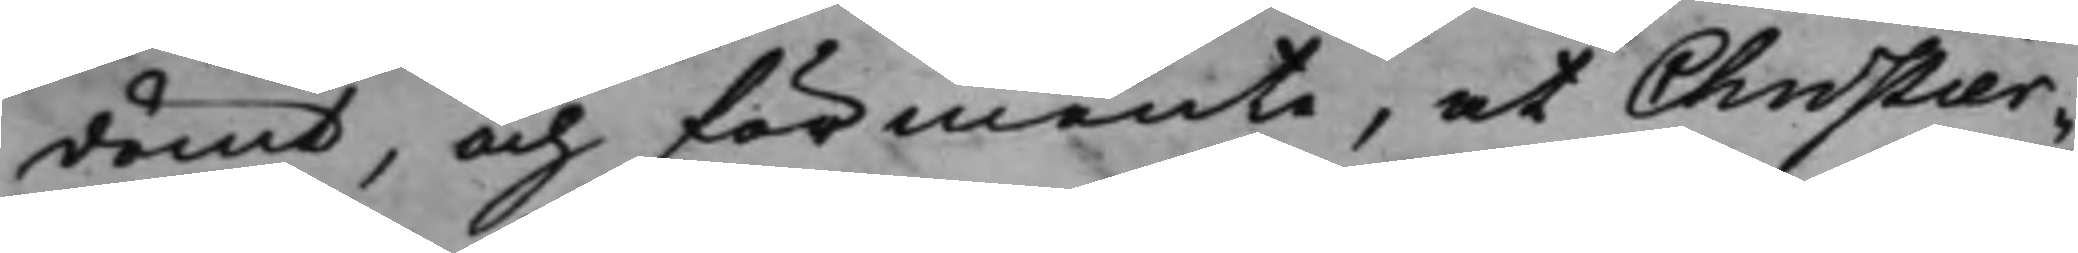dömt, och förmente, at Christier¬
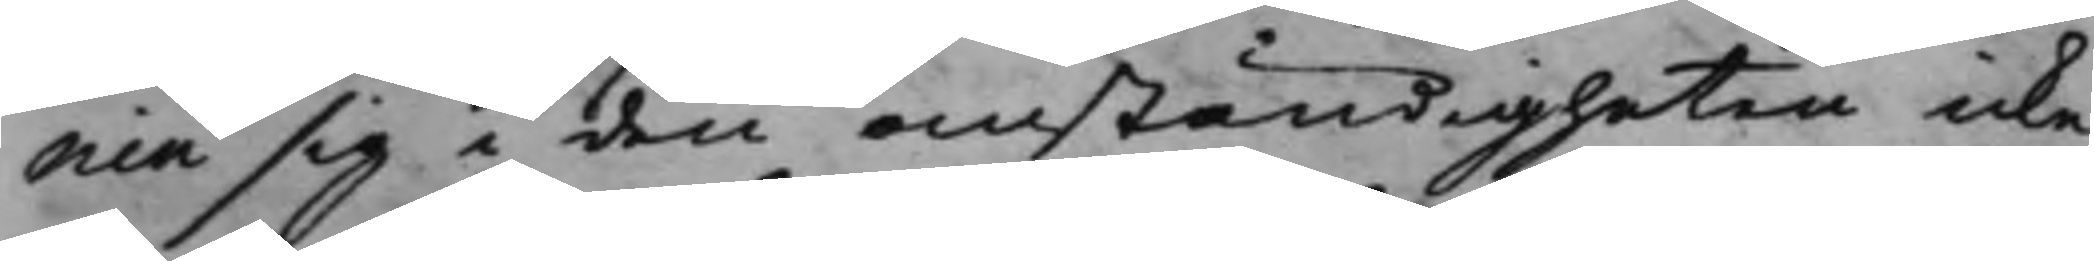nin sig i den omständigheten icke
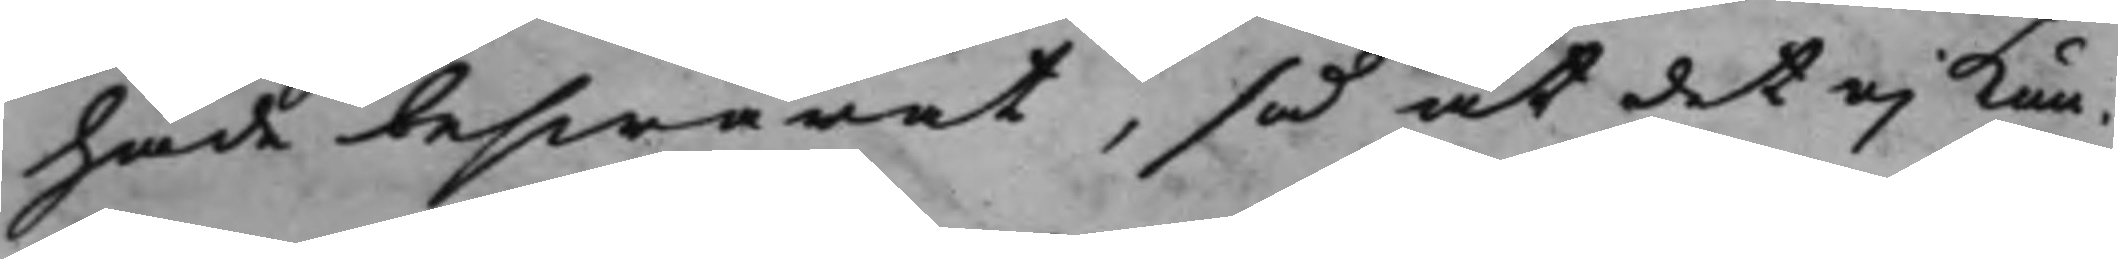hade beswärat, så at det ej kun¬
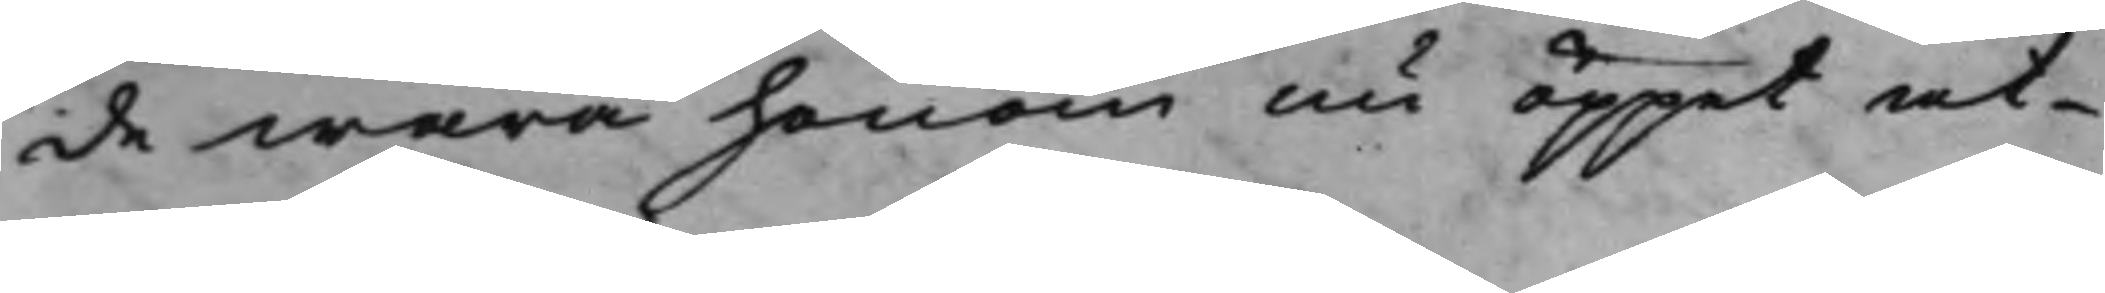de wara honom nu öppet at
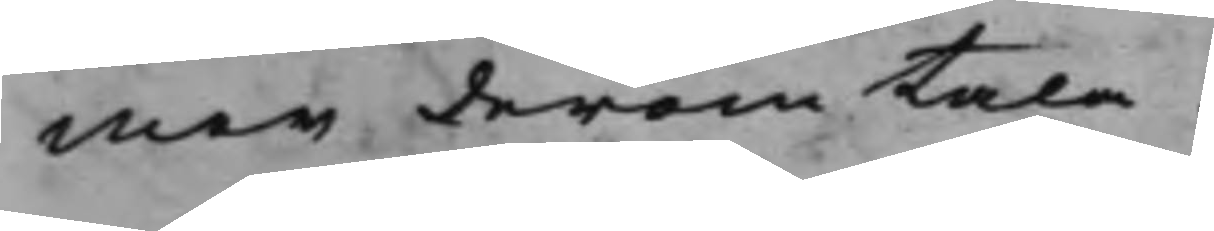mer derom tala.
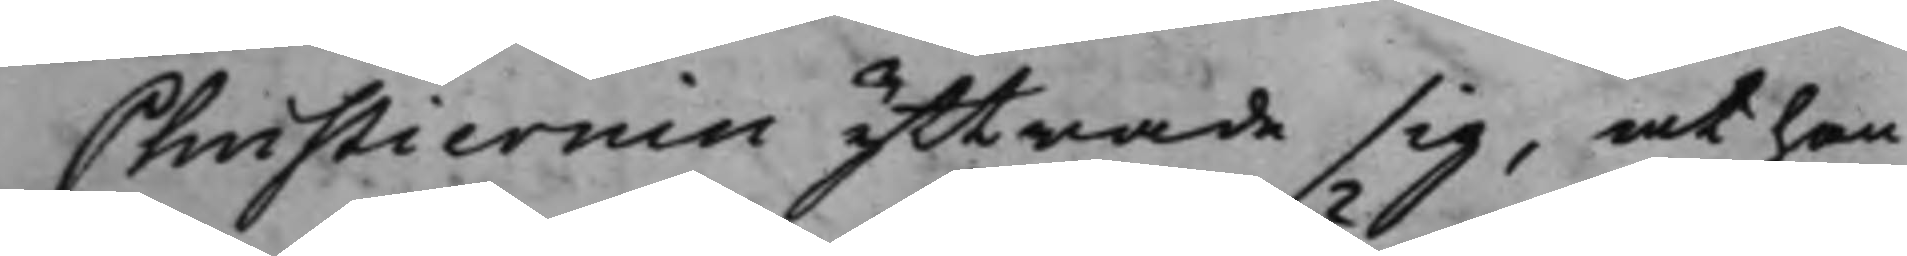Christiernin yttrade sig, at han
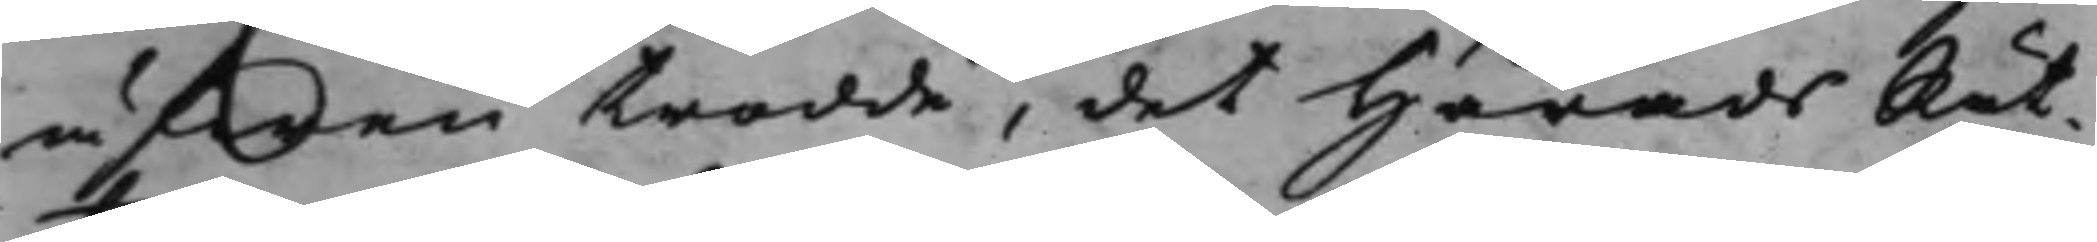äfwen trodde, det HäradsRät¬
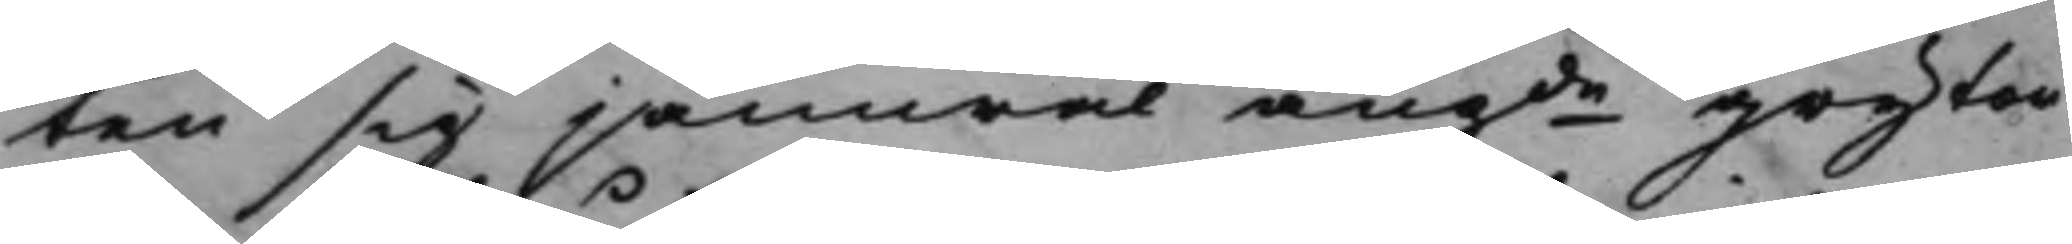ten sig jämwäl angde Grytor¬
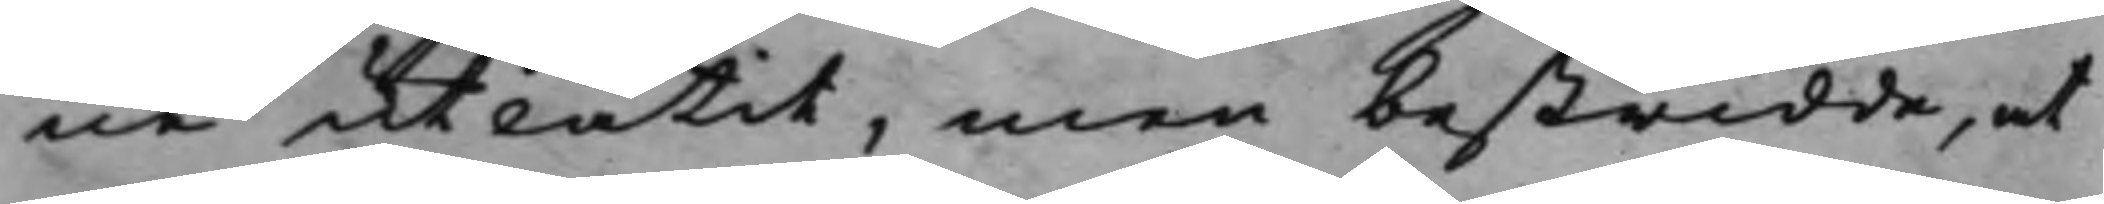ne utlåtit, men bestridde, at
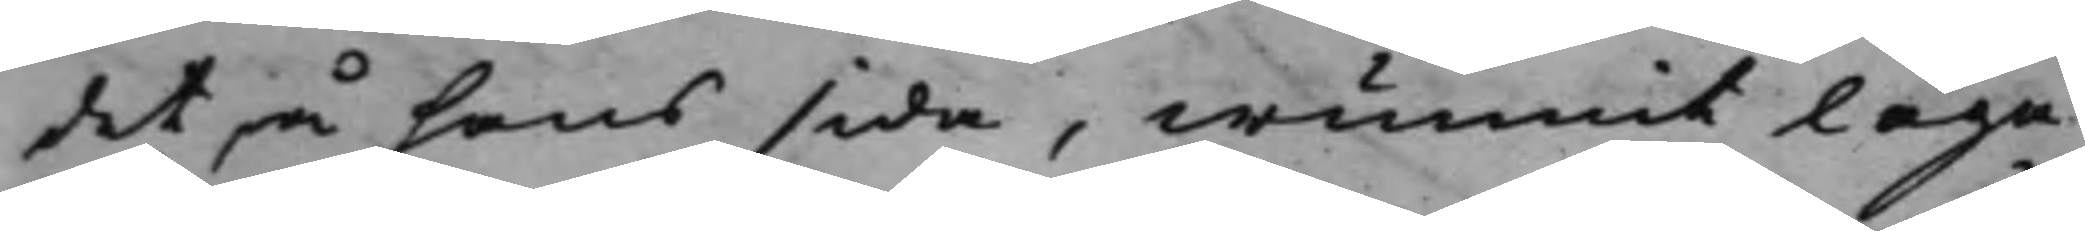det på hans sida, wunnit laga
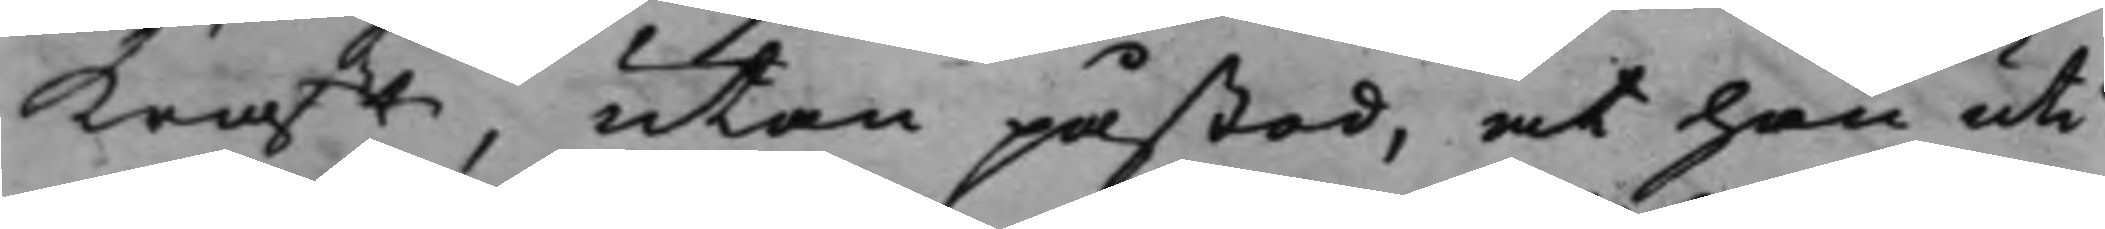kraft, utan påstod, at han uti
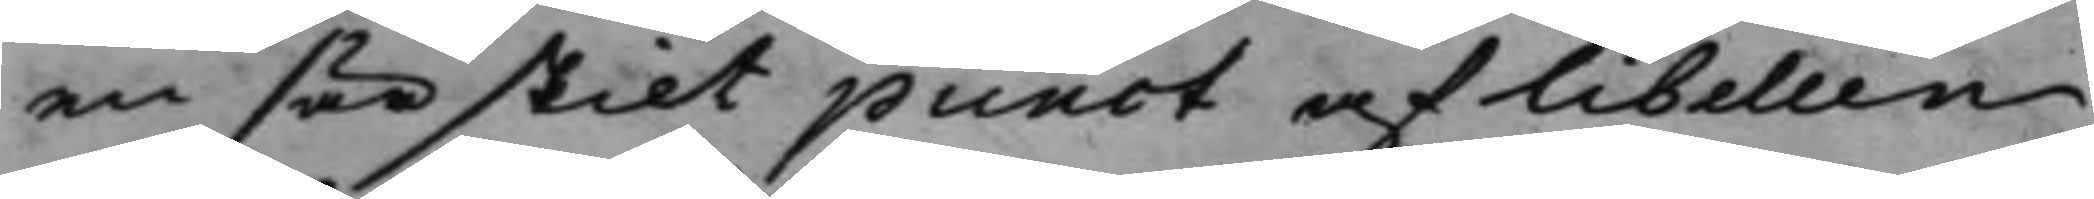en särskilt punct af libellen
